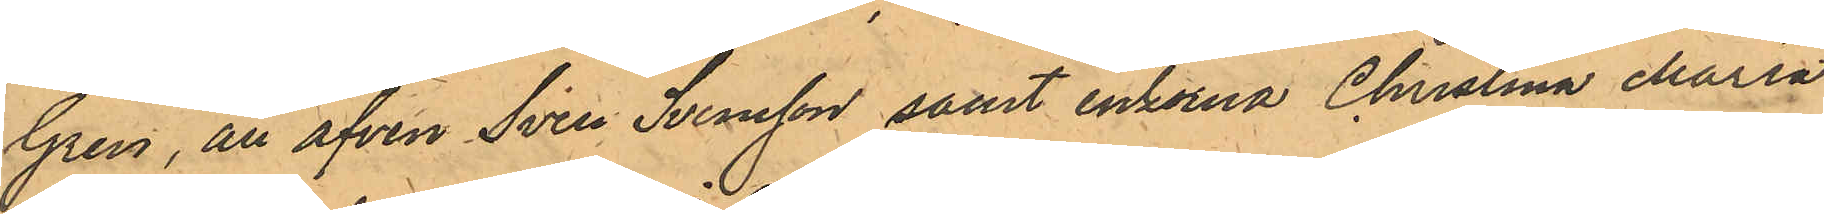Gren, än äfven Sven Svensson samt enkorna Christina Maria
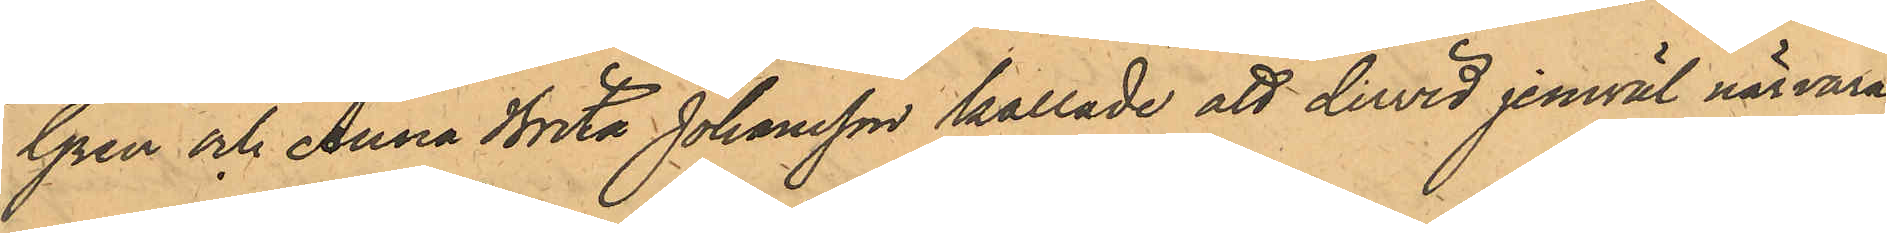Gren och Anna Brita Johansson kallade att dervid jemväl närvara.
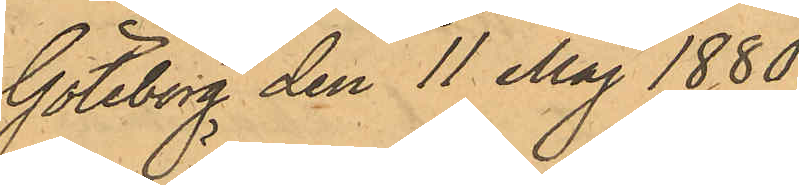Göteborg den 11 Maj 1880.
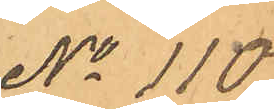No 110.
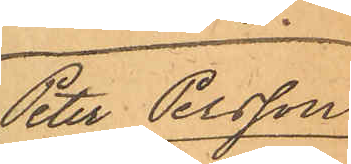Peter Persson
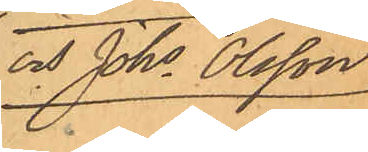och Johs Olsson
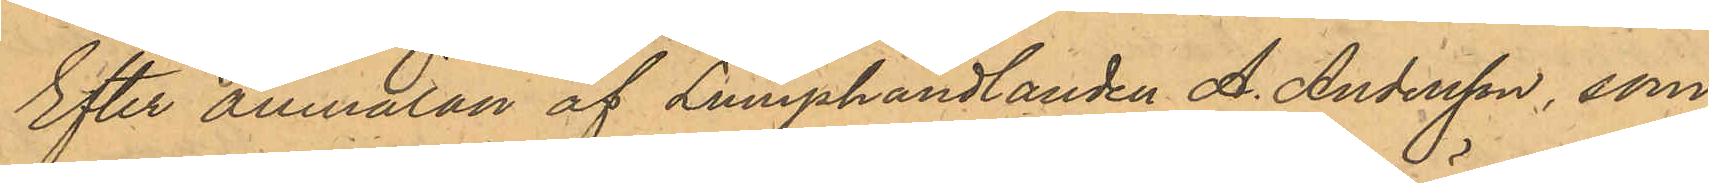Efter anmälan af Lumphandlanden A. Andersson, som
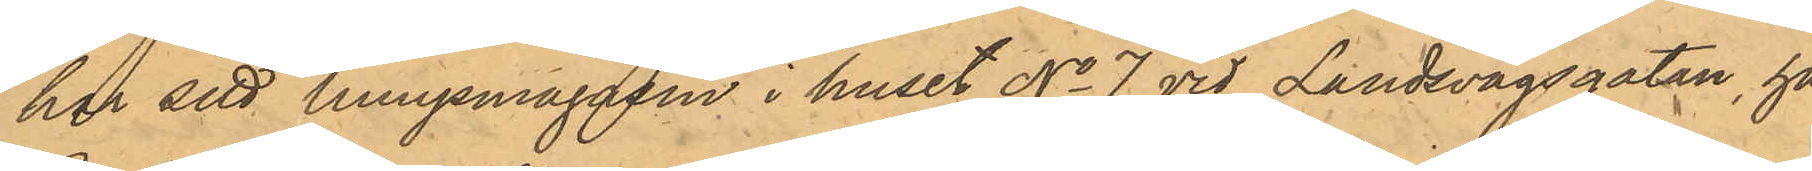har sitt lumpmagasin i huset No 7 vid Landsvägsgatan, har
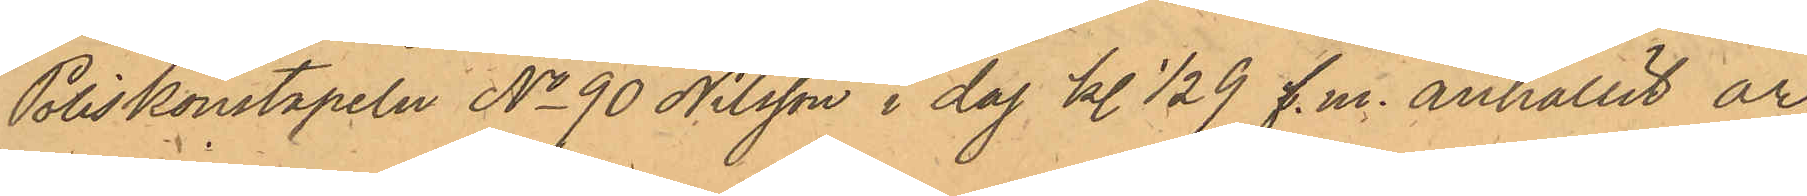Poliskonstapeln No 90 Nilsson i dag kl 1/2 9 f.m. anhållit ar¬
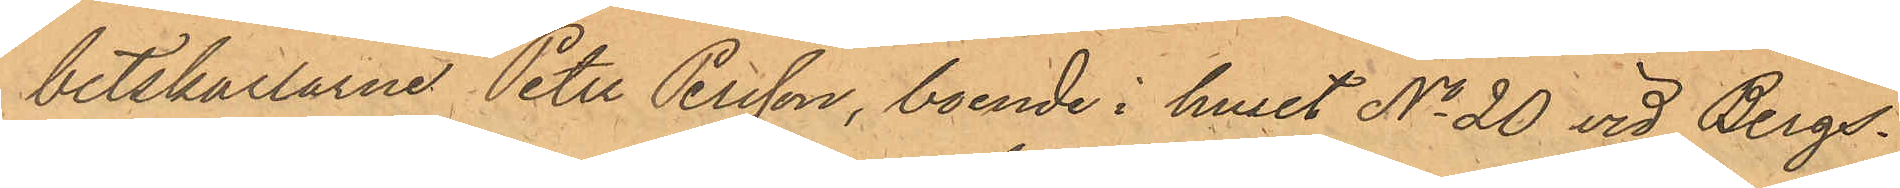betskarlarne Peter Persson, boende i huset No 20 vid Bergs¬
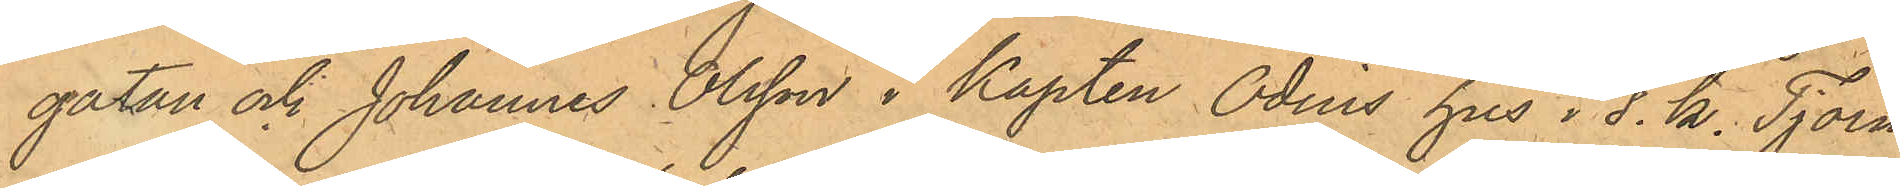gatan och Johannes Olsson i Kapten Odins hus i s. k. Tjörn¬
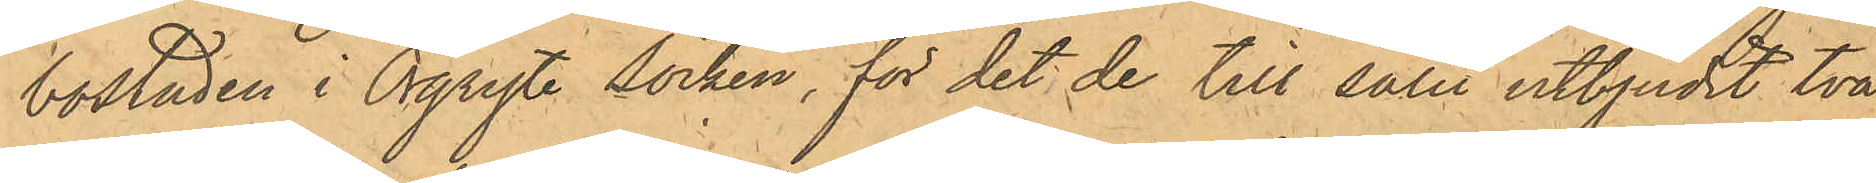bostaden i Örgryte Socken, för det de till salu utbjudit två
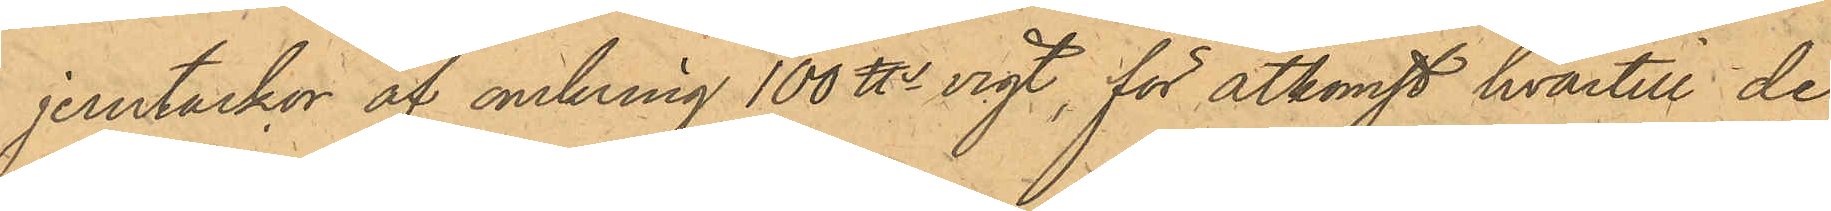jerntackor af omkring 100 ℔s vigt, för åtkomst hvartill de
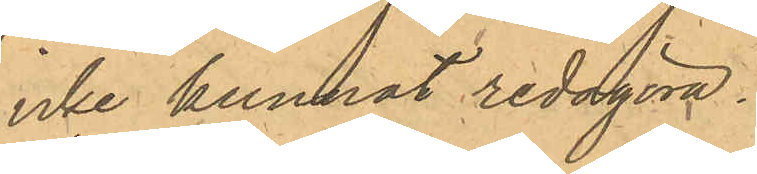icke kunnat redogöra.
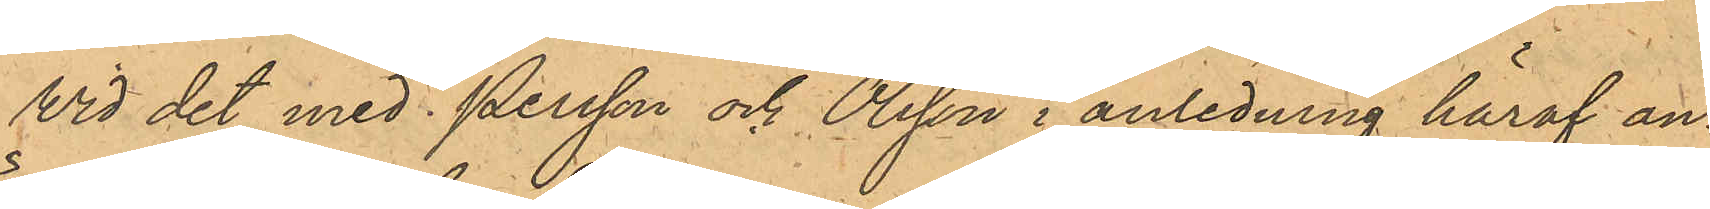Vid det med Persson och Olsson i anledning häraf an¬
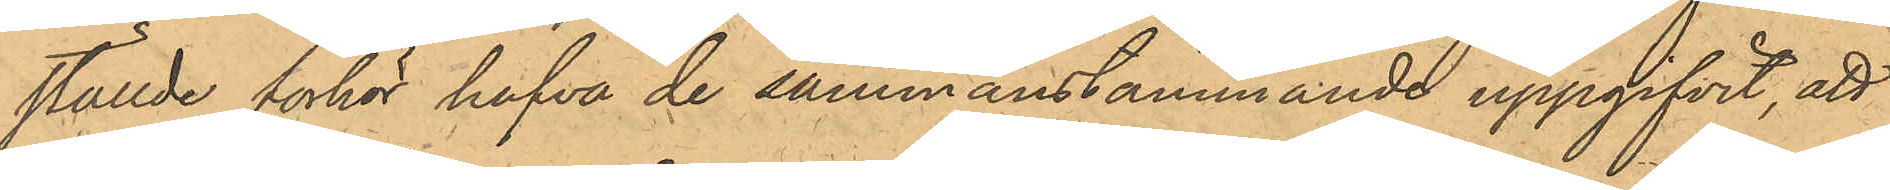ställde förhör hafva de sammanstämmande uppgifvit, att
